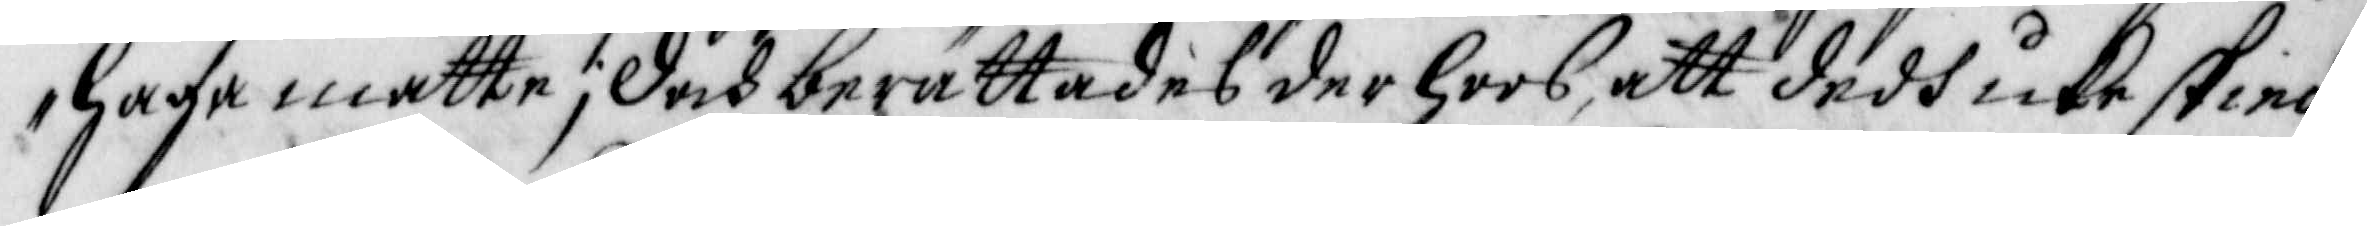haga måtte; Doch berättades derhoos, att dedh icke skied¬
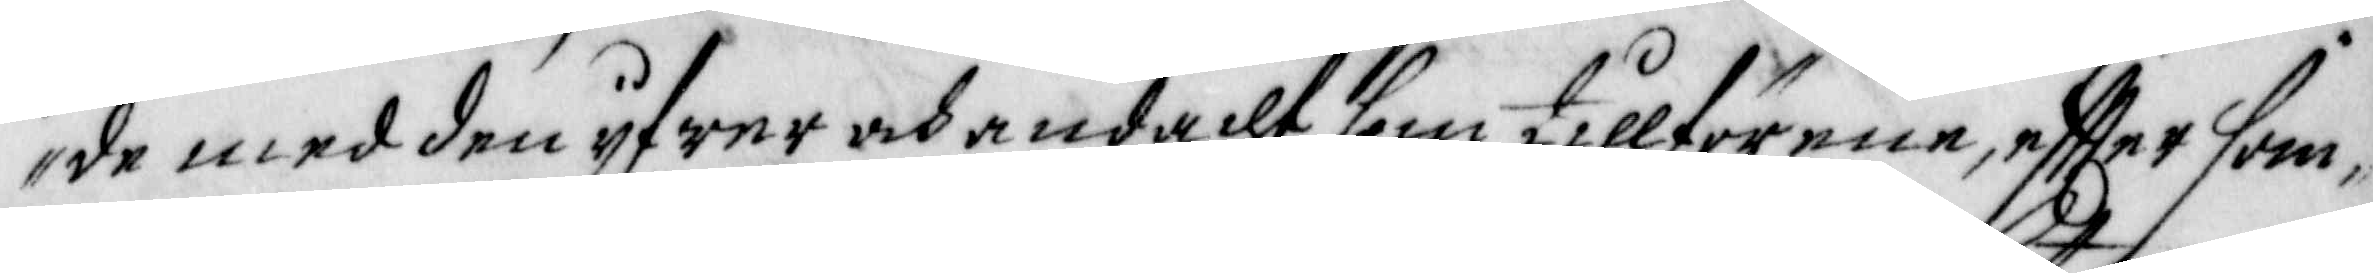de med den ijfwer och andacht som tillförene, effter som¬
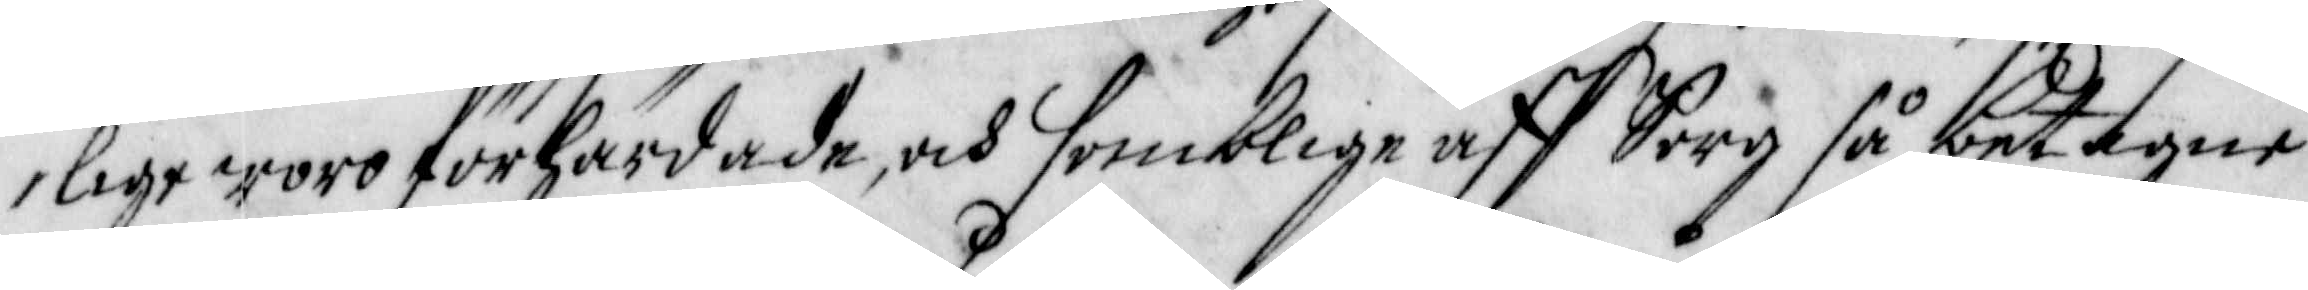lige woro förhärdade, och somblige aff Sorg så betagne
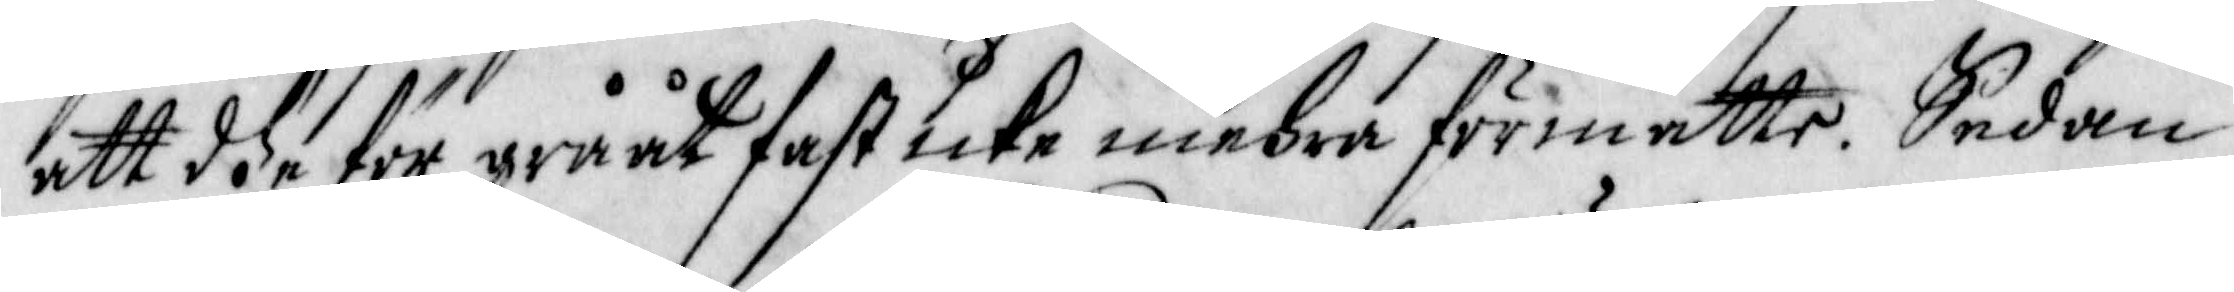att dhe för grååt fast icke mehra förmåtte. Sedan
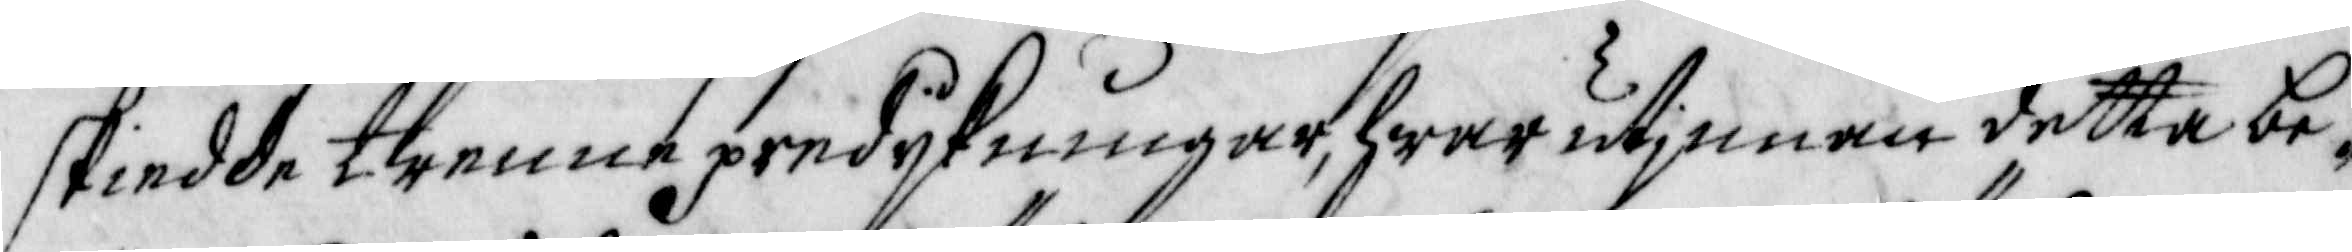skiedde trenne predijkningar, hwarutjnnan detta be¬
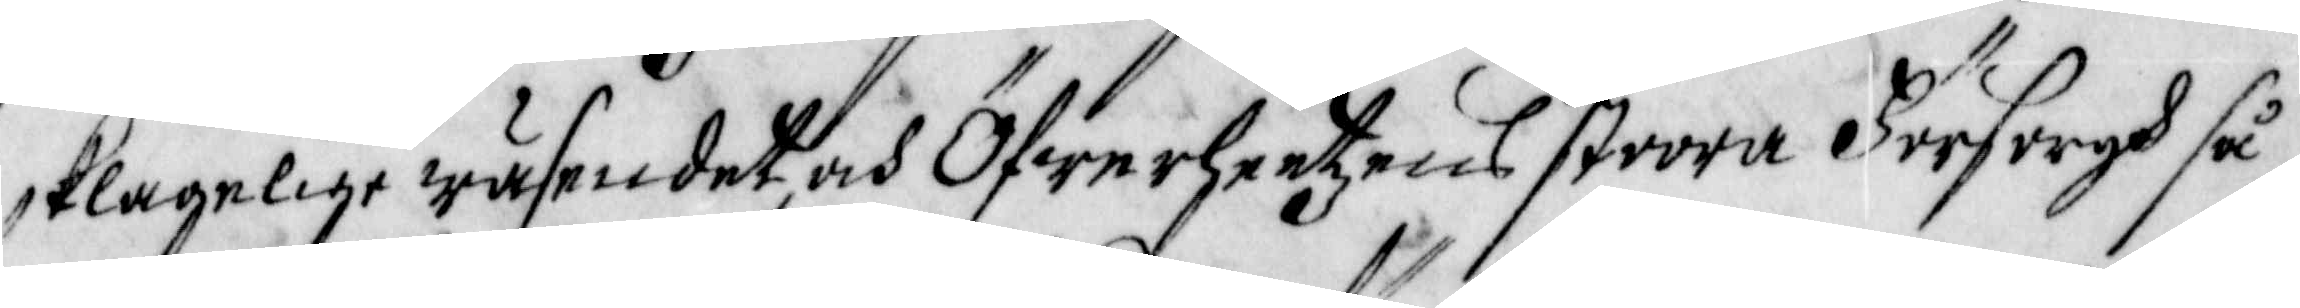klagelige wäsendet, och Öfwerheetzens stoora Försorgh så¬
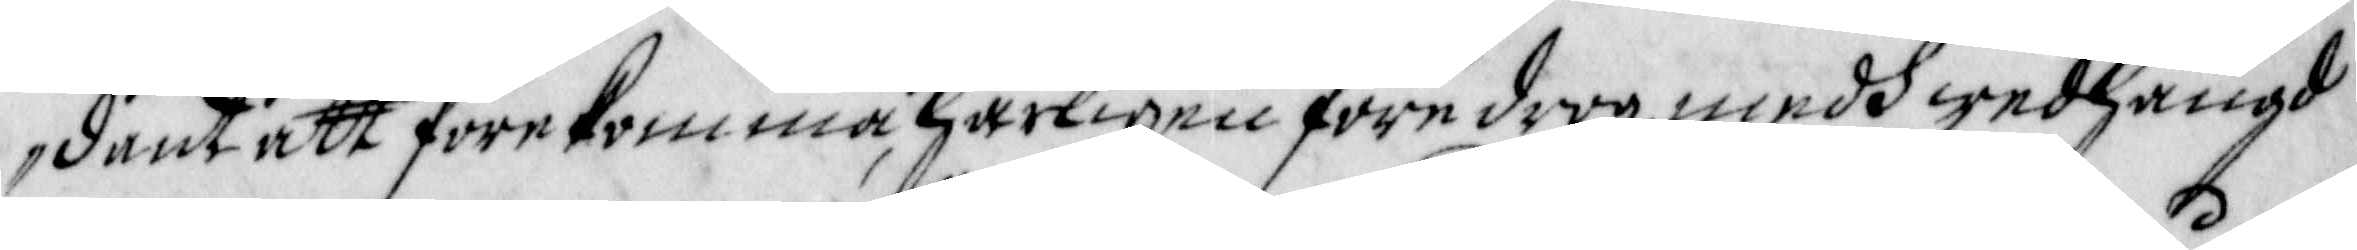dant att förekomma, Härligen föredrog, medh wedhängd
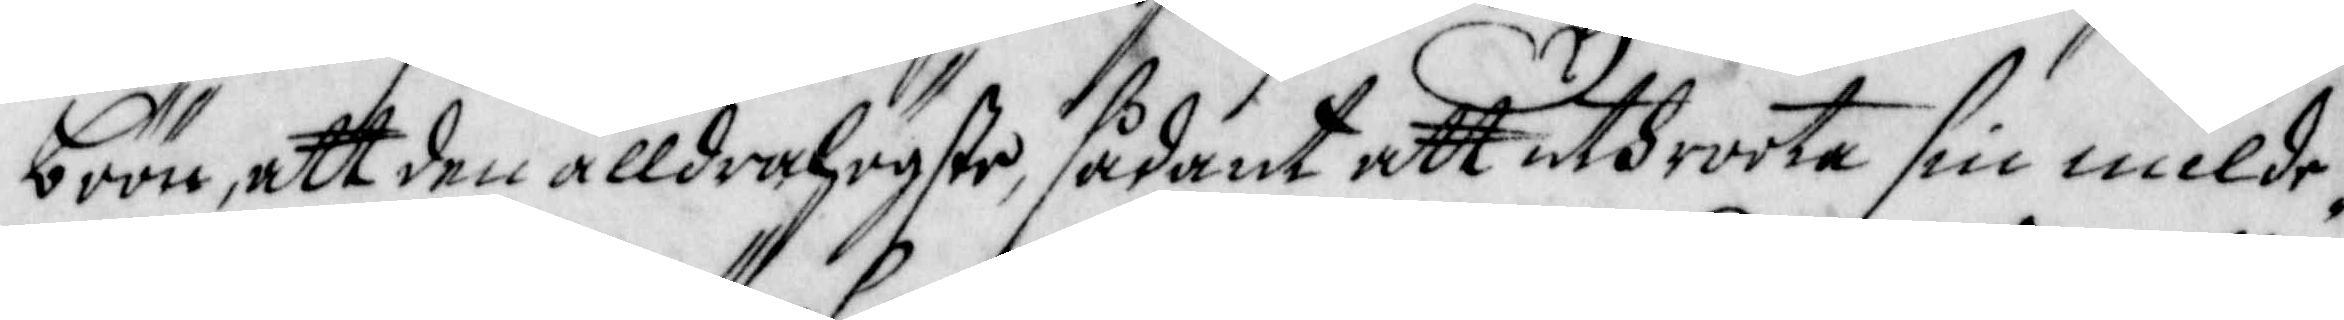böön, att den alldrahögste, sådant att uthroota sin milde¬
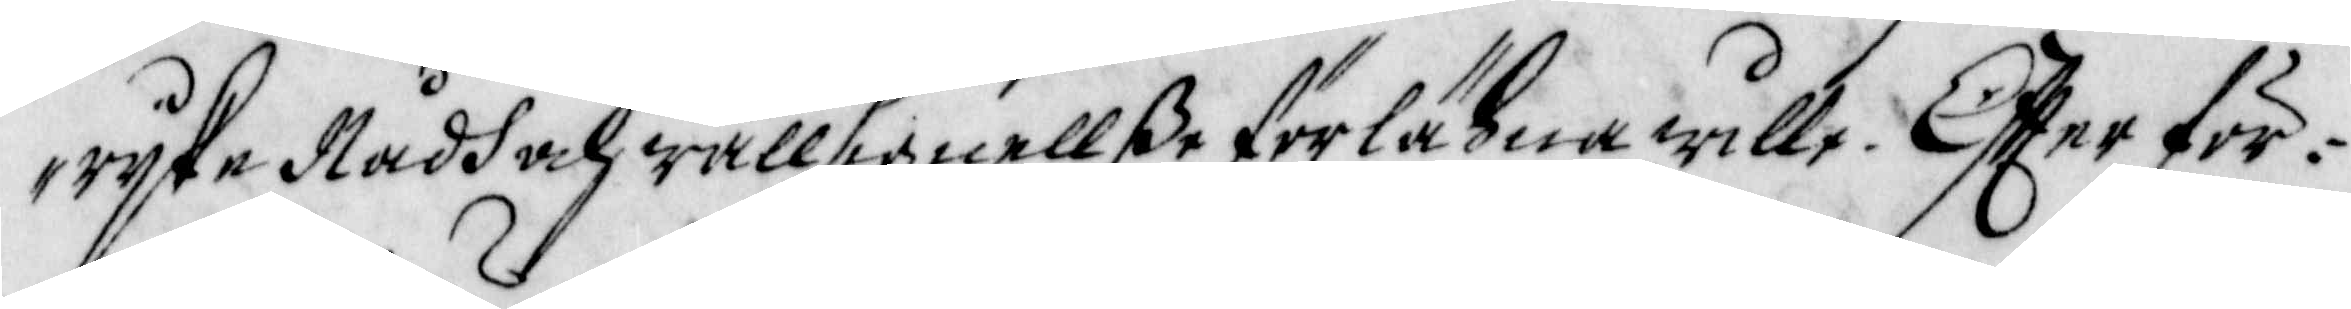rijke Nådh och wällignellße förlähna wille. Effter för¬
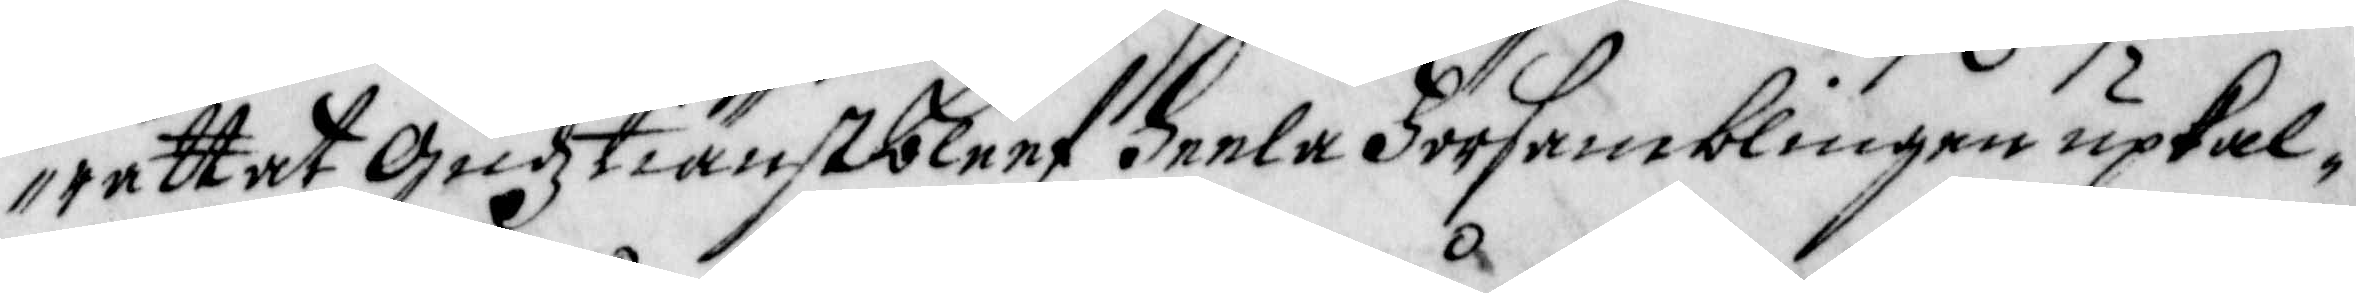rättat Gudztiänst bleef heela Församblingen upkal¬
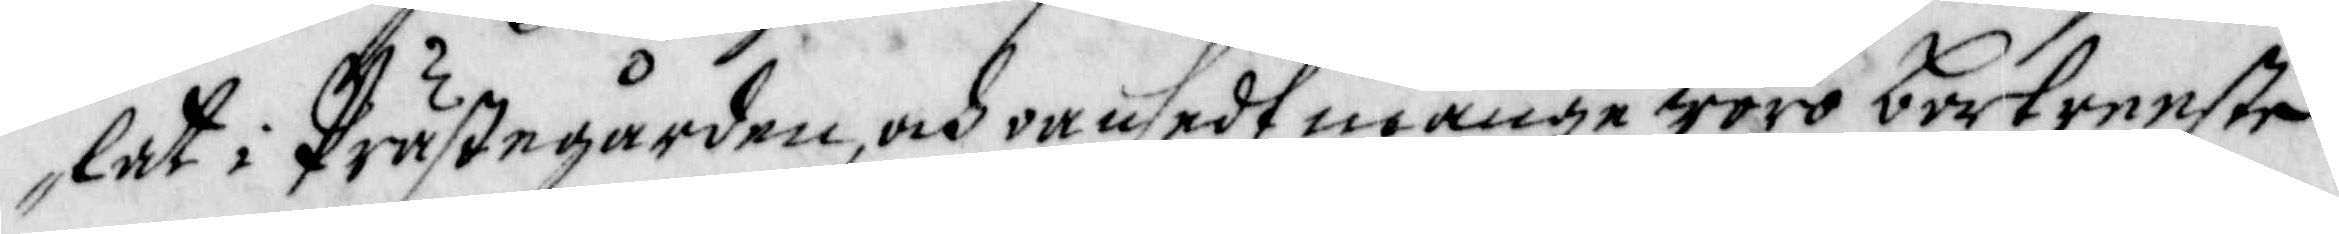lat i Prästegården, och oansedt månge woro bortreeste
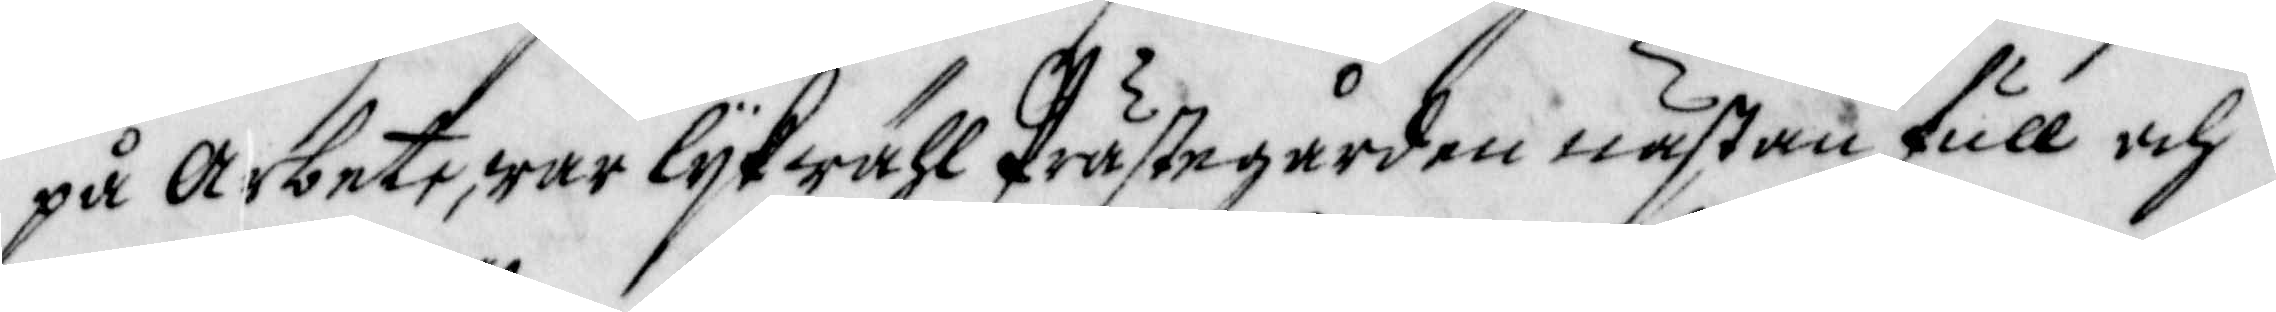på Arbete, war lijkwähl Prästegården nästan full och
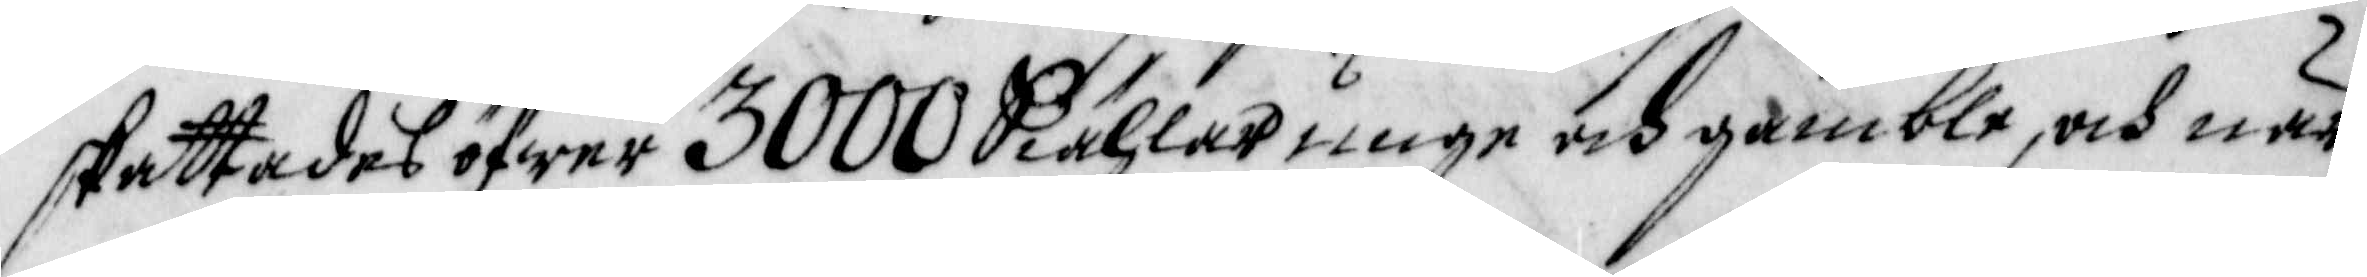skattades öfwer 3000 Siählar unge och gamble, och när
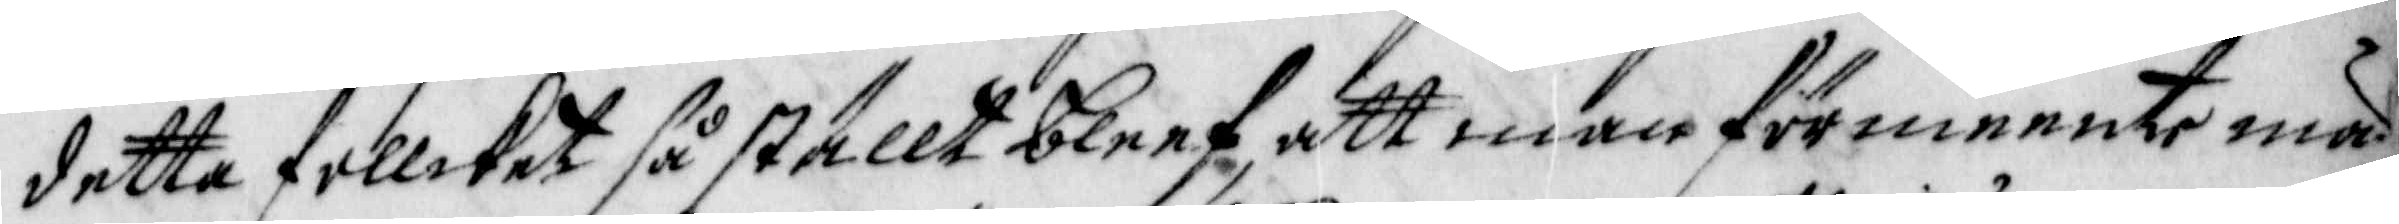detta follcket så ställt bleef, att man förmeente mä¬
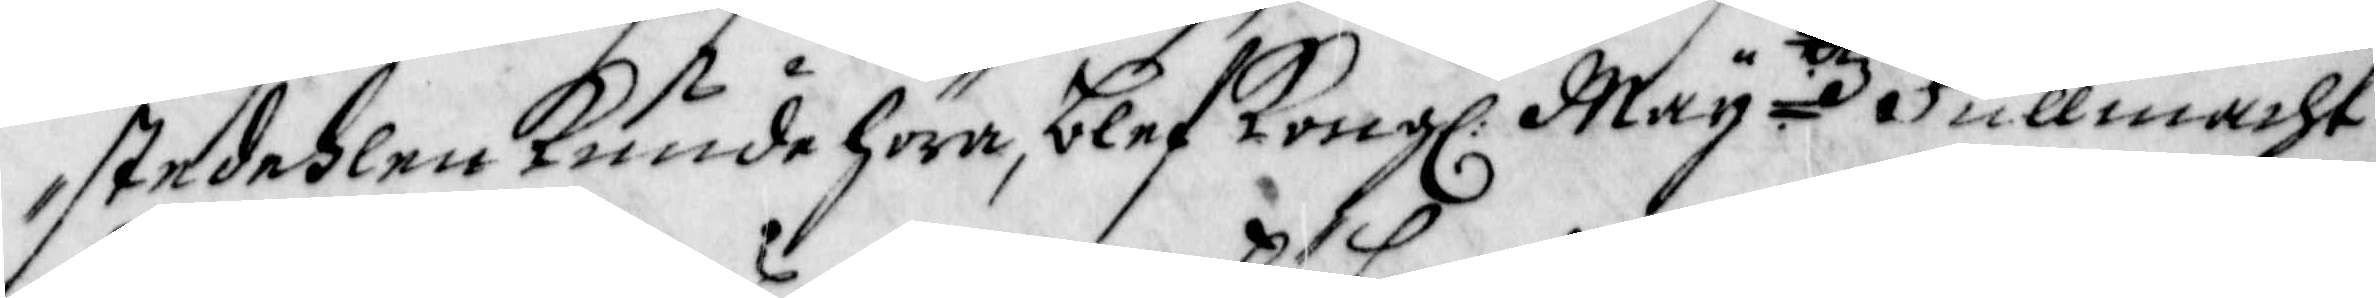stedehlen Kunde höra, blef Kong: Maij:ttz Fullmacht
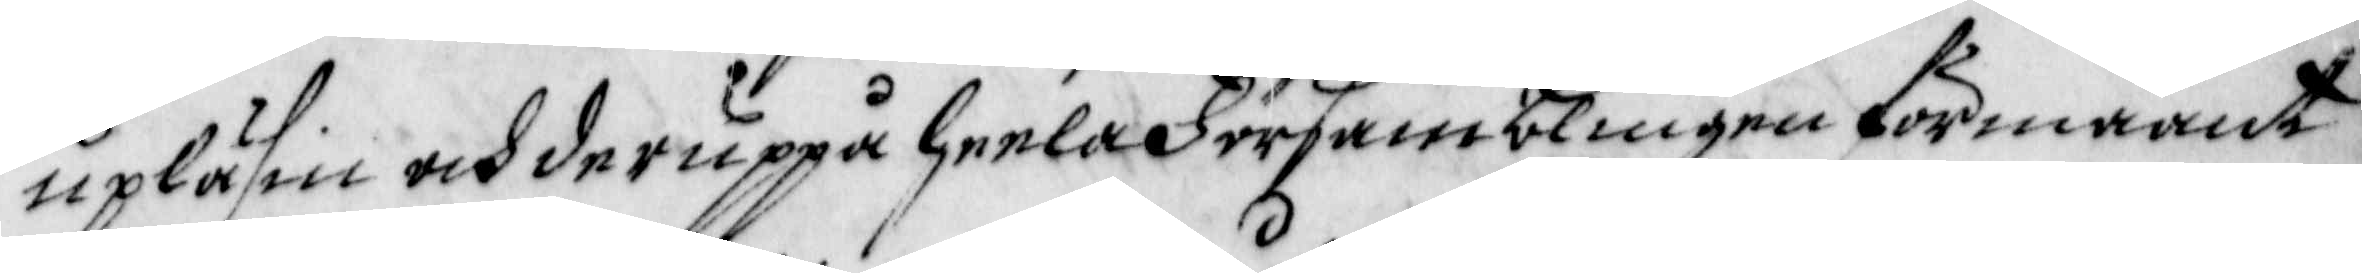upläsin och deruppå heela Församblingen förmaant
